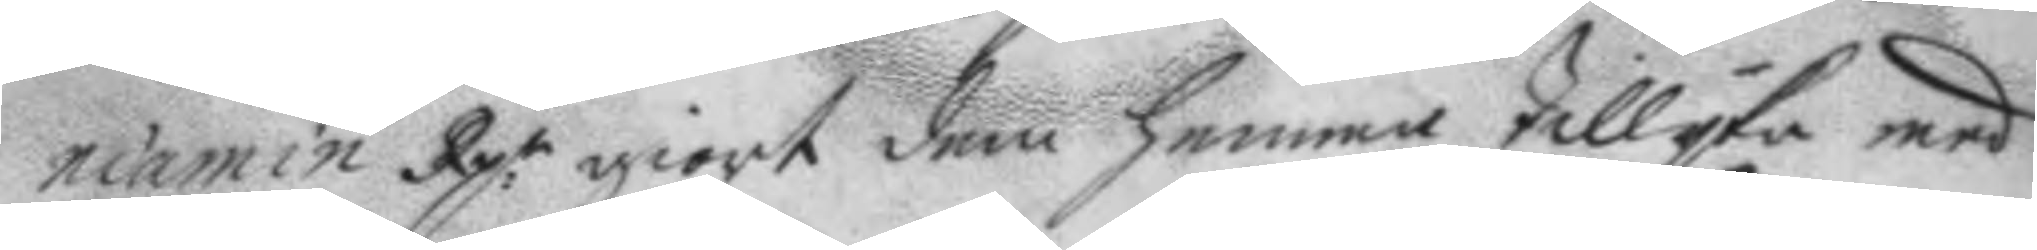niamin Rp:r giort dem hemma tillyka med
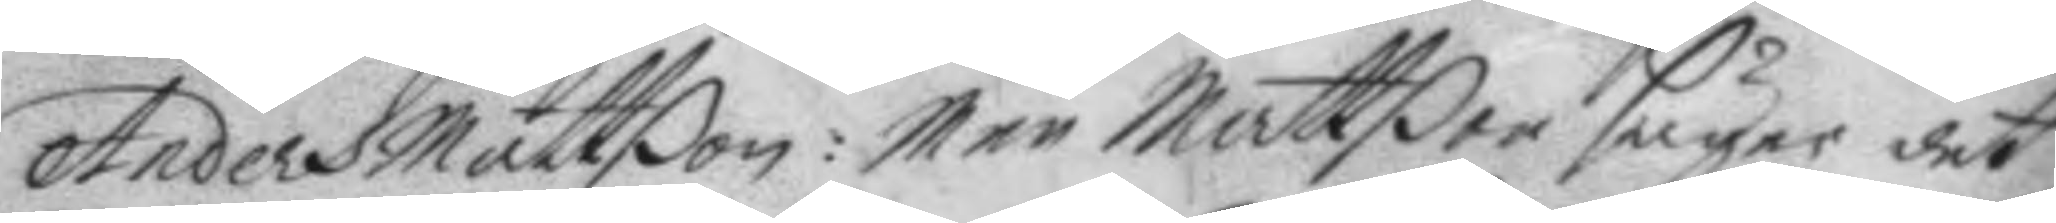Anders mattßon: Men Mattßon säger det
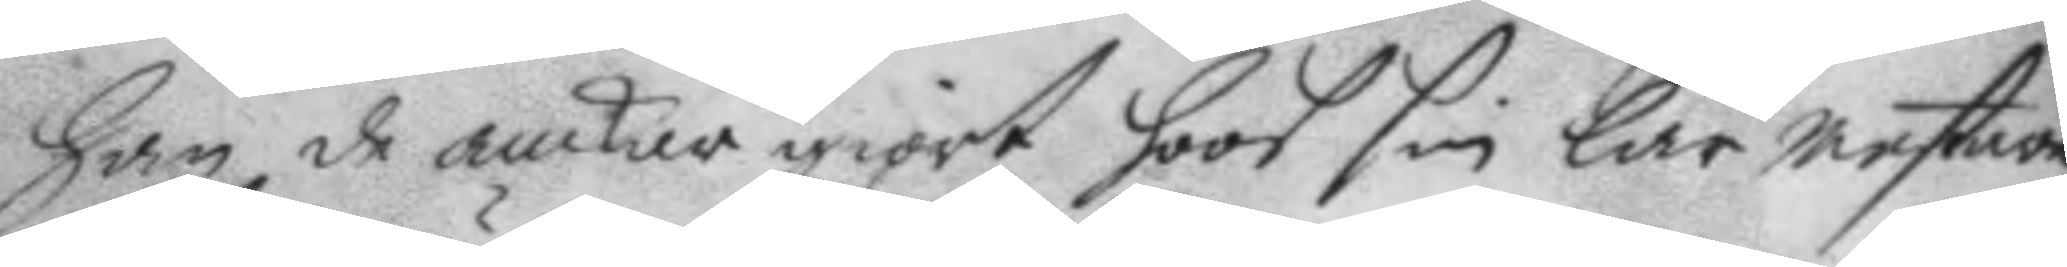Han de ankare giort hoos sin lärmestare
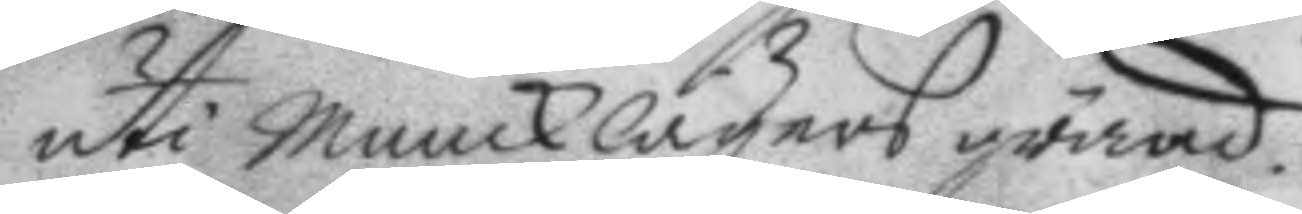uti Muncklägers gränd.
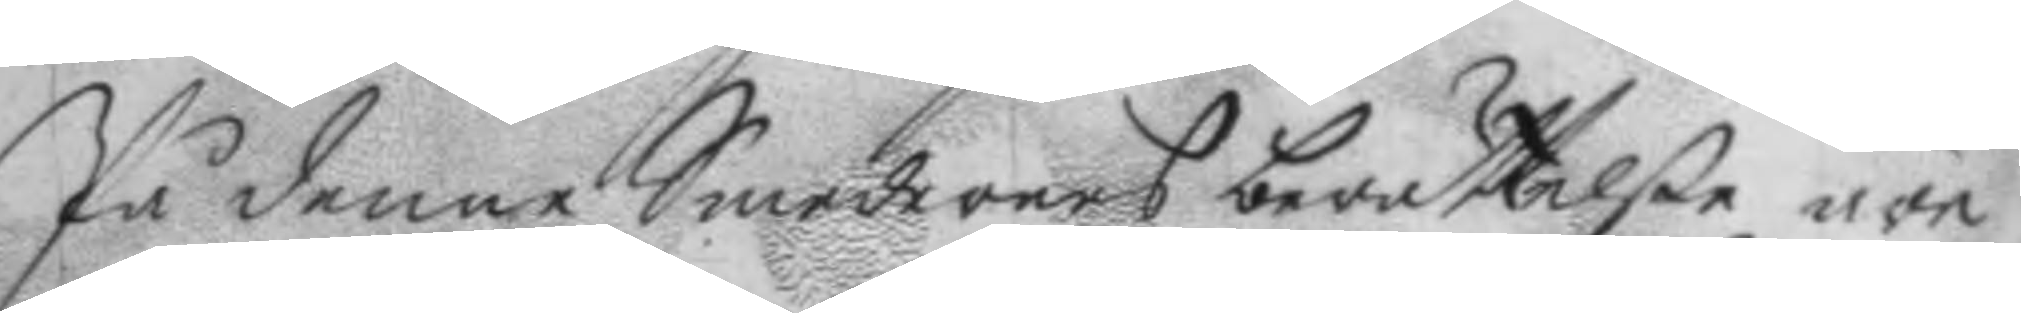På denne Smedernes berättelße äre
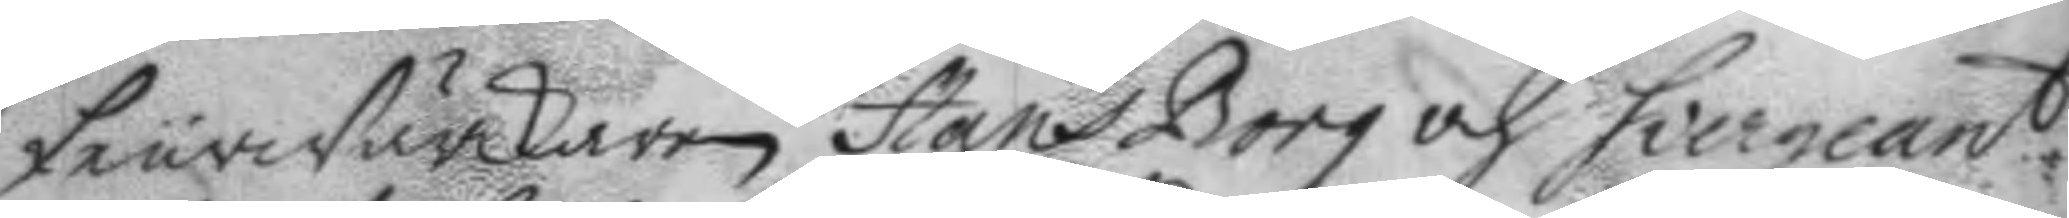feurwärkaren Hans Borg och Siergeant
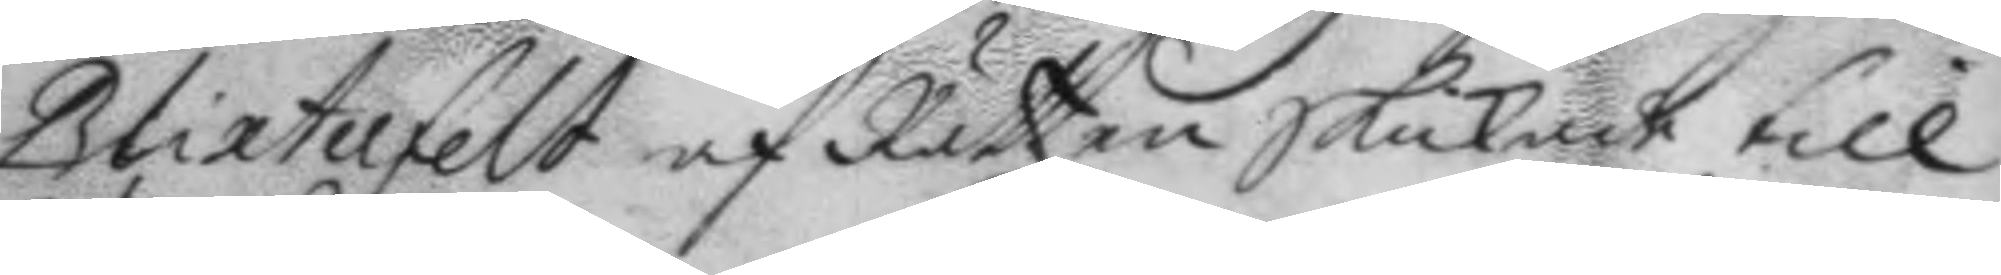Blixterfelt af Rätten Skickade till
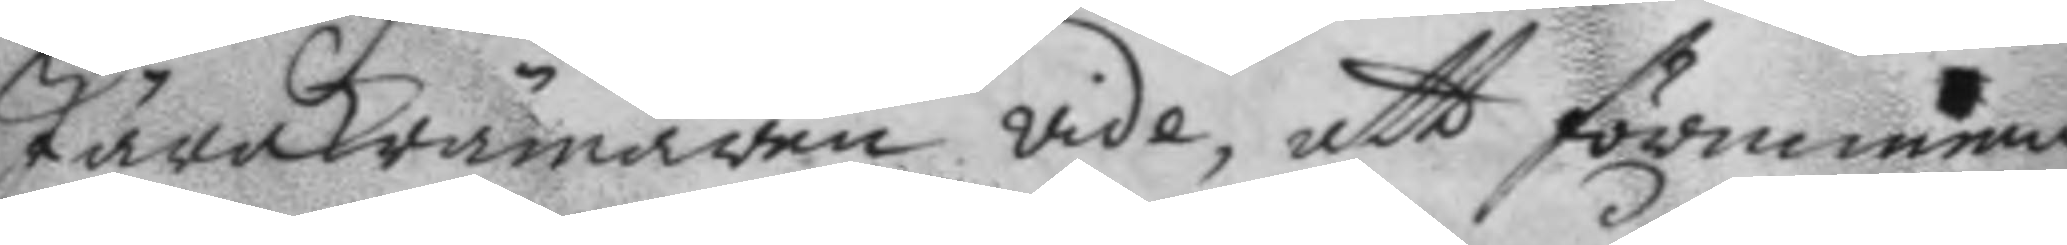JärnKrömaren vide, att förnimma
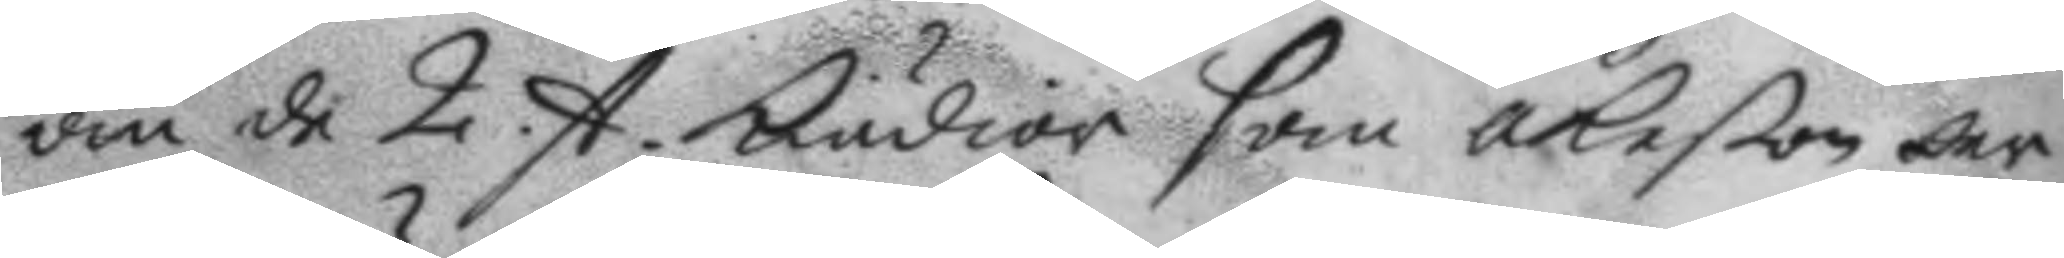om de 2. st. Kiedior som åkeßon der
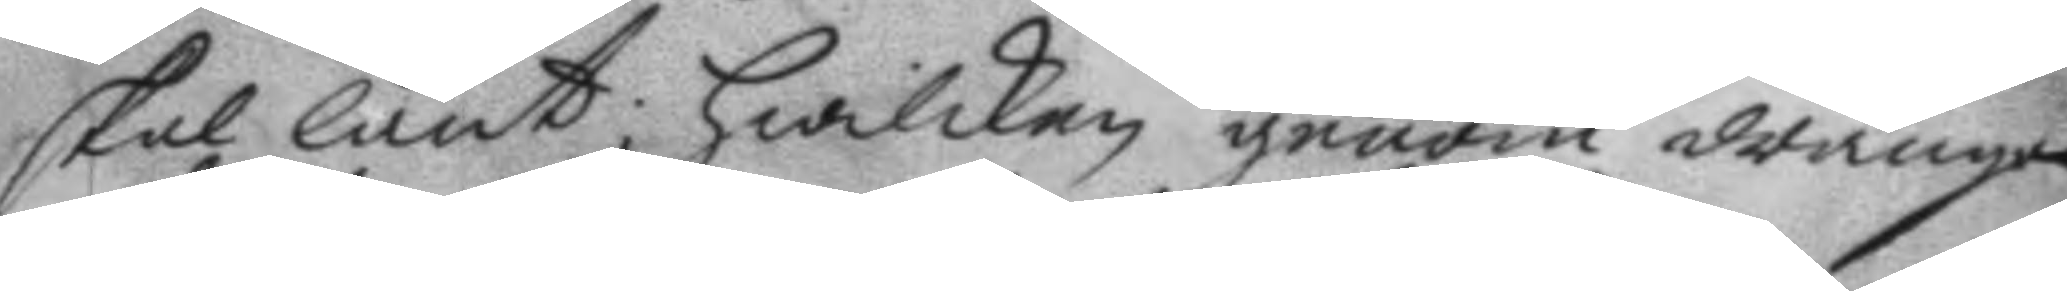skal lånt; Hwilken genom drängen
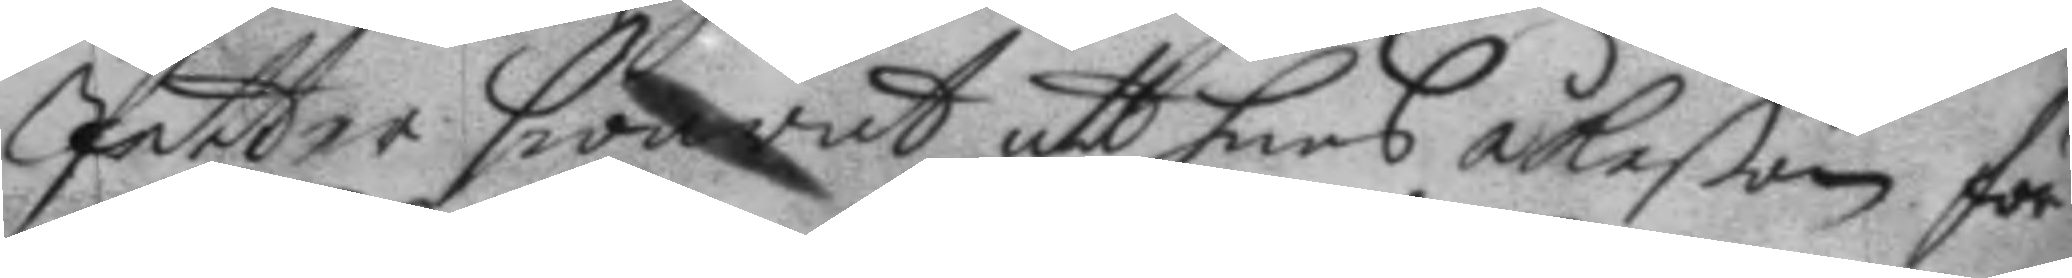Petter Swarat att hans åkeßon för
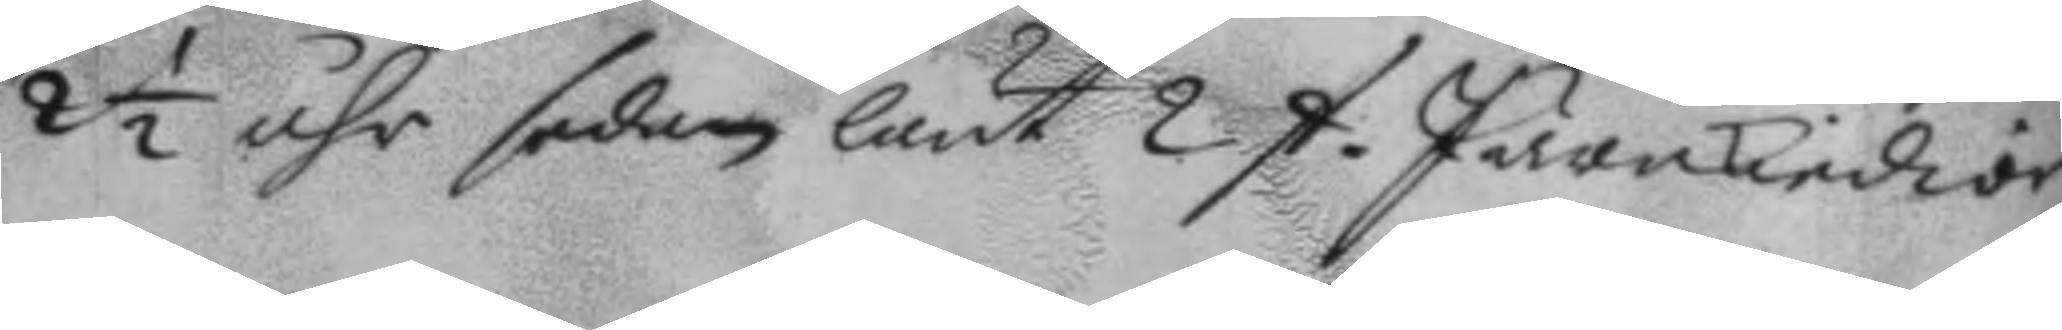2½ åhr sedan lånt 2. st JärnKiedior,
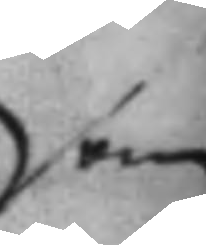som
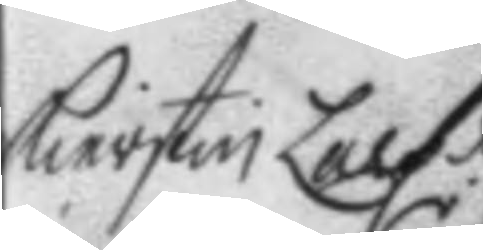Kierstin Larsdr.
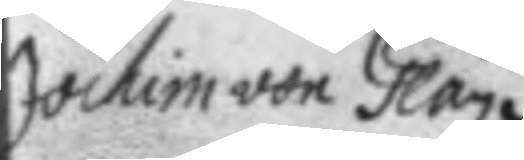Jochim von Glan
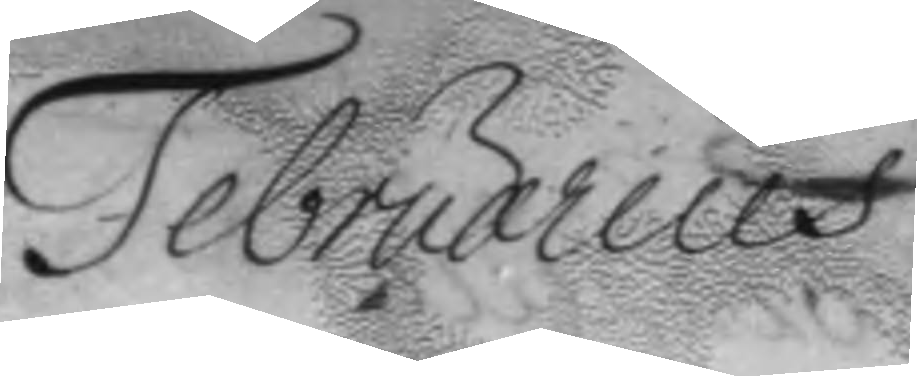Februarius
